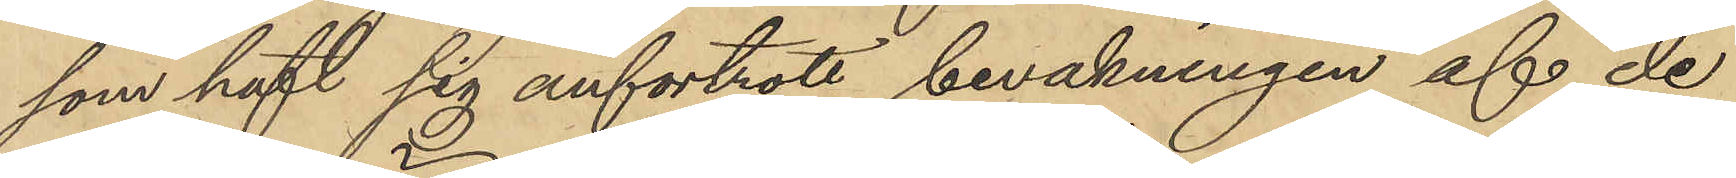som haft sig anförtrott bevakningen af de
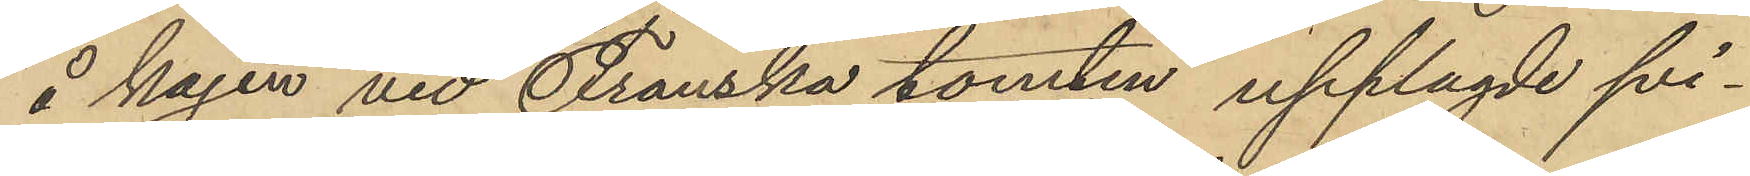å kajen vid Franska tomten upplagde svi¬
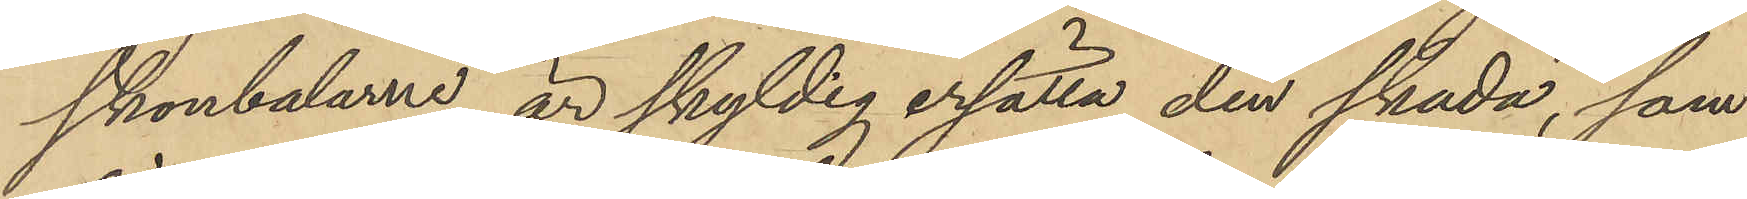skonbalarne, är skyldig ersätta den skada, som
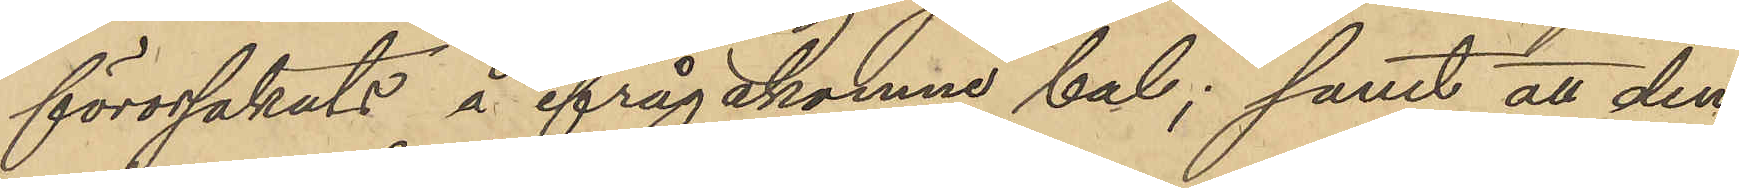förorsakats å ifrågakomne bal; samt att den
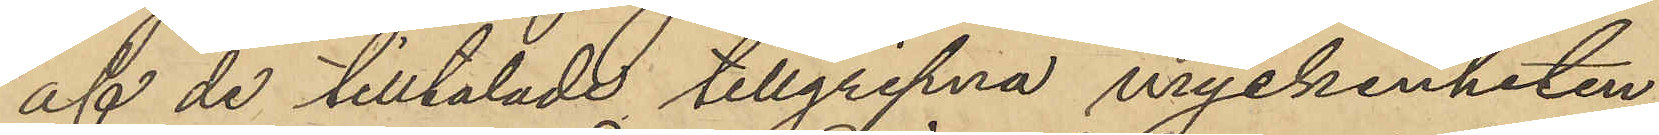af de tilltalade tillgripna myckenheten
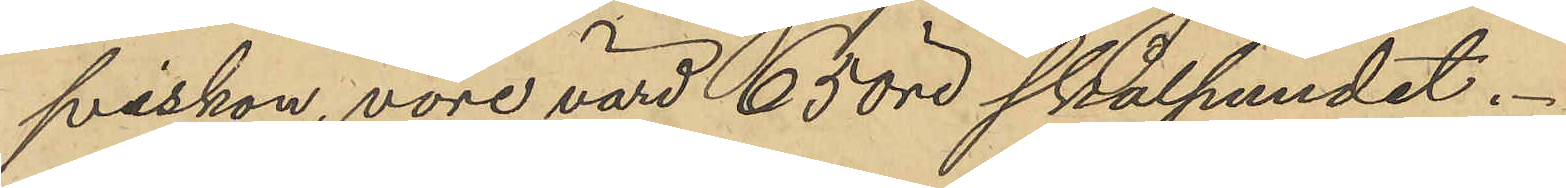sviskon, vore värd 65 öre skålpundet.
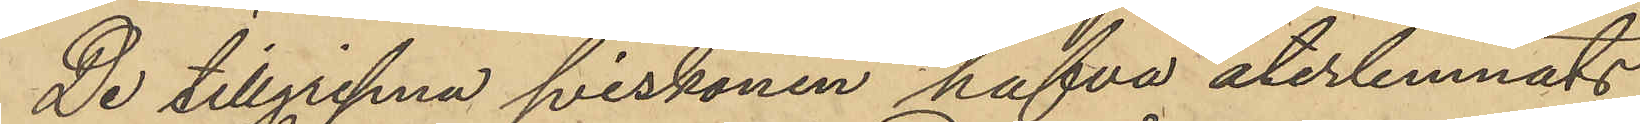De tillgripna sviskonen hafva återlemnats
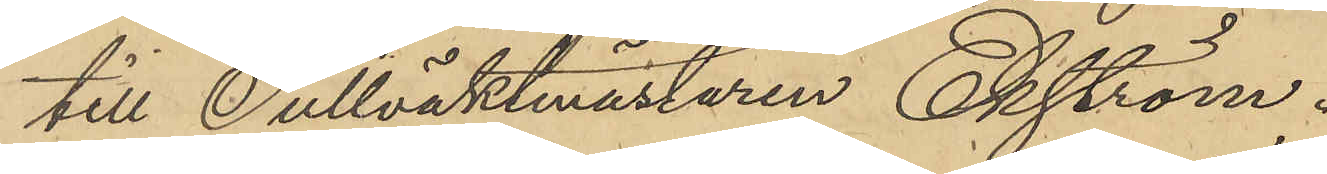till Tullvaktmästaren Ekström.
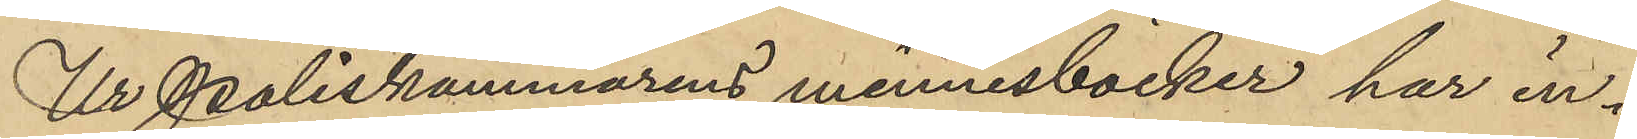Ur Poliskammarens minnesböcker har in¬
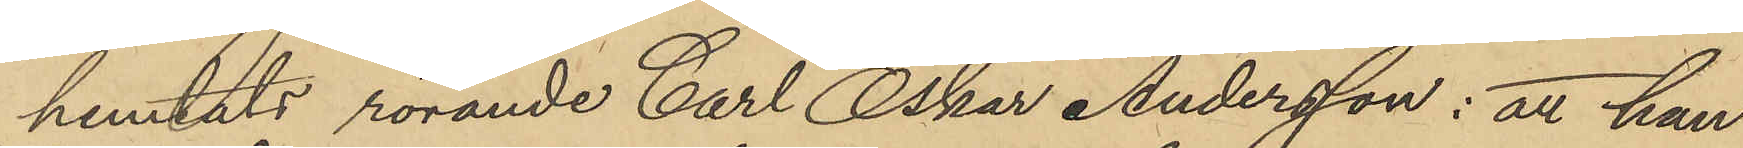hemtats rörande Carl Oskar Andersson: att han
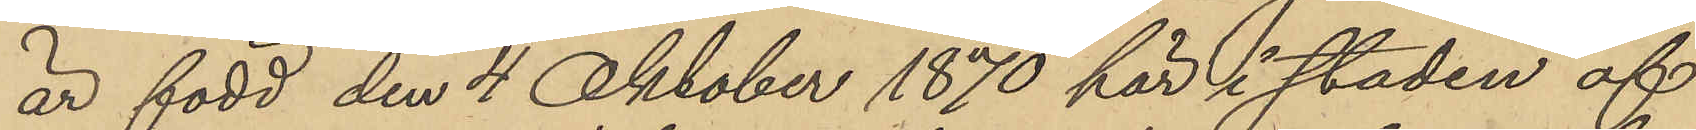är född den 4 Oktober 1870 här i staden af
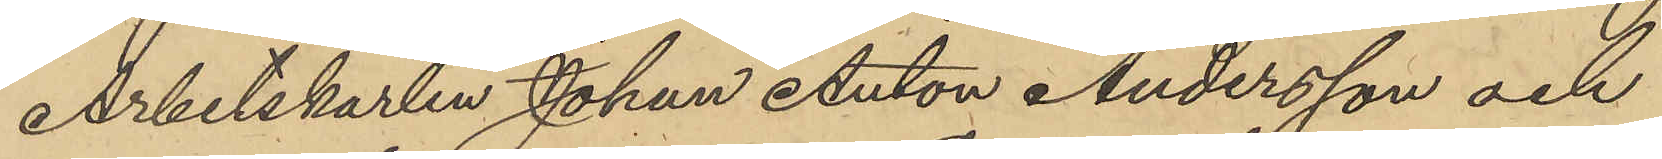Arbetskarlen Johan Anton Andersson och
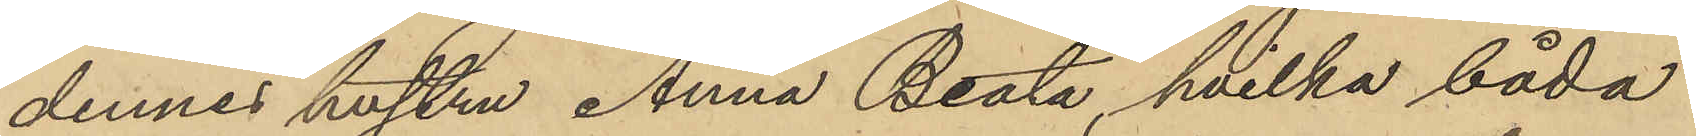dennes hustru Anna Beata, hvilka båda
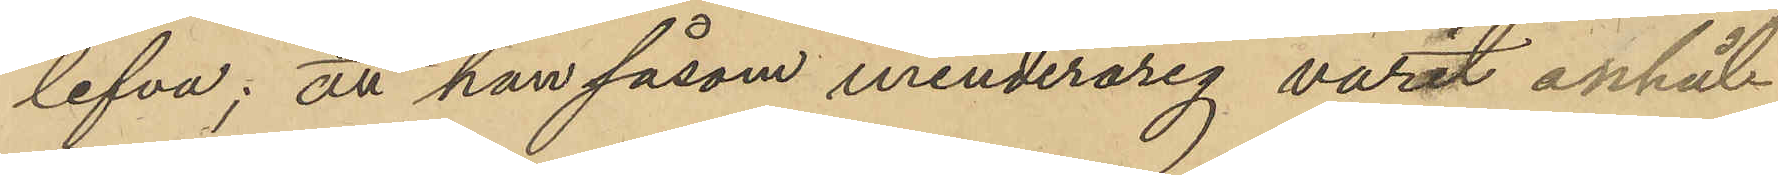lefva; att han såsom minderårig varit anhåll¬
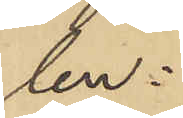len:
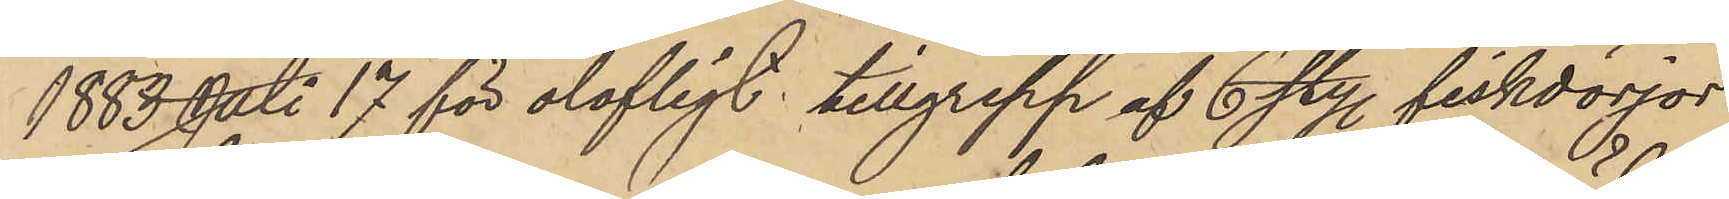1883 Juli 17 för olofligt tillgrepp af 6 sty. fiskdörjor
